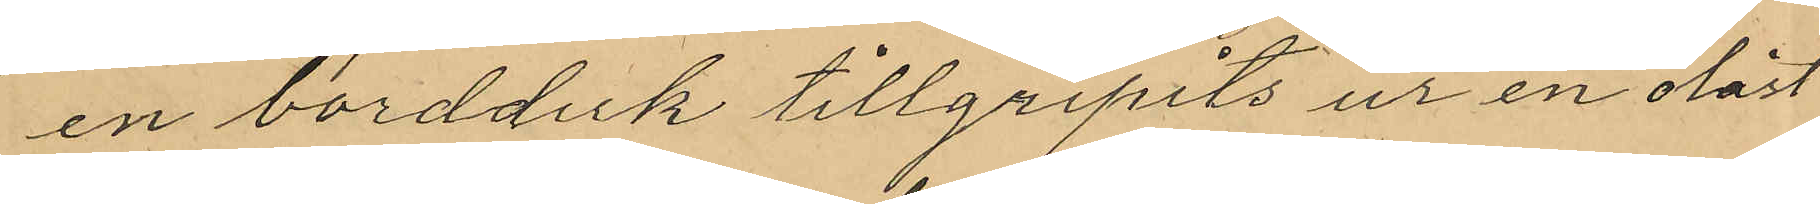en bordduk tillgripits ur en olåst
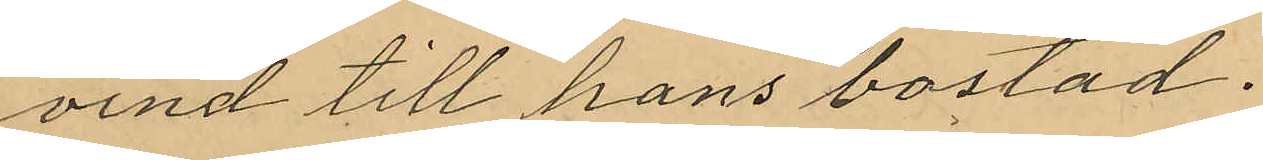vind till hans bostad.
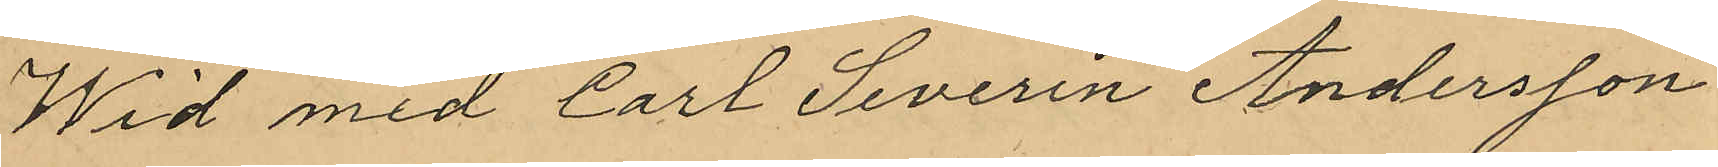Wid med Carl Severin Andersson
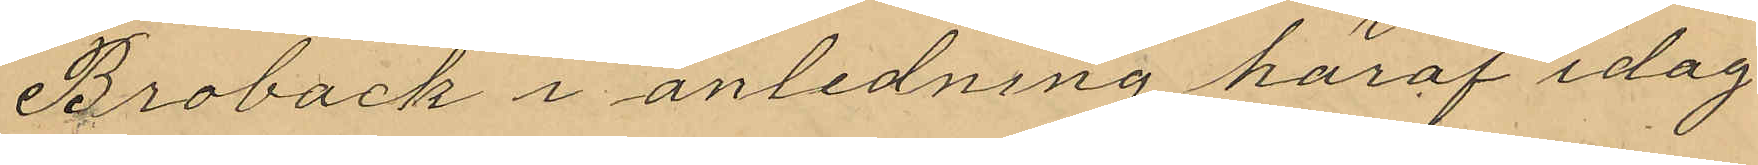Broback i anledning häraf idag
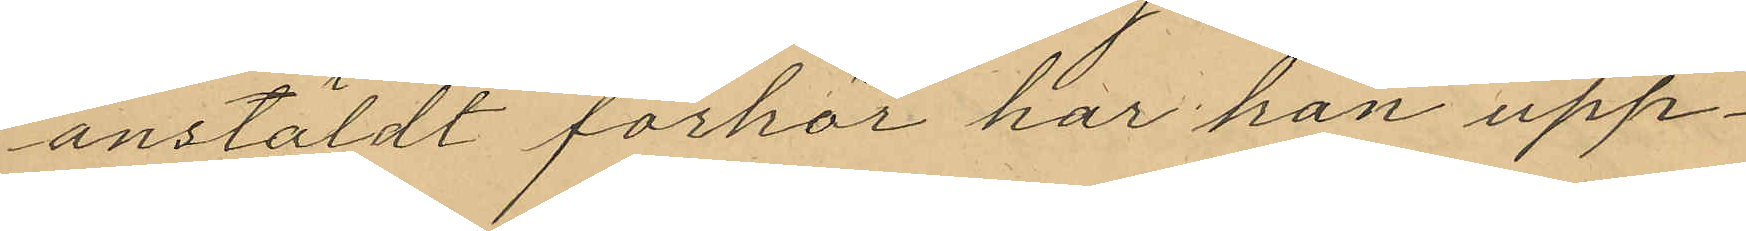anstäldt förhör har han upp¬
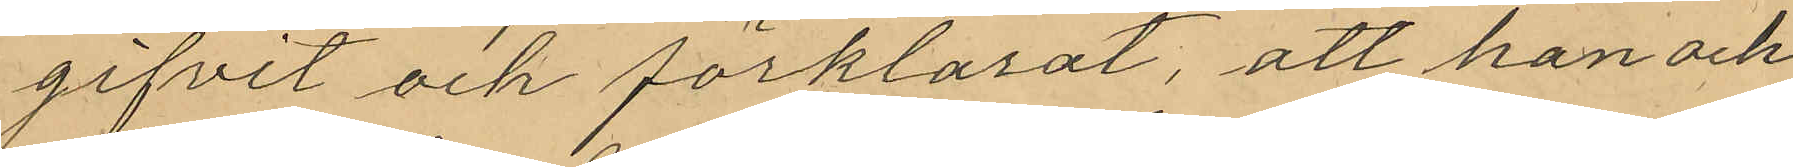gifvit och förklarat, att han och
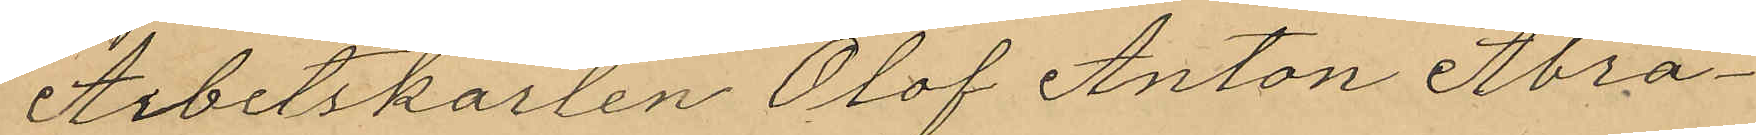Arbetskarlen Olof Anton Abra¬
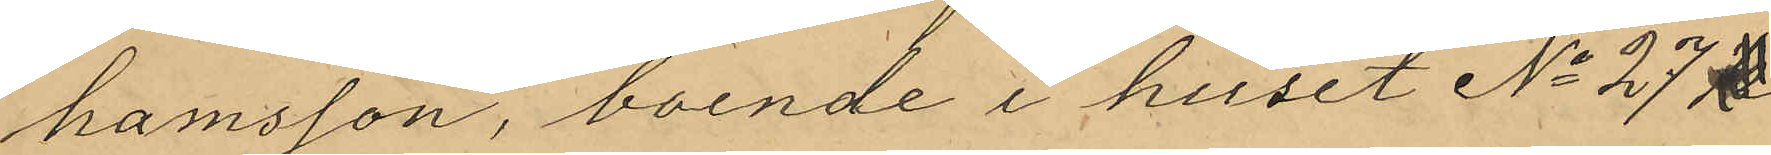hamsson, boende i huset No 27
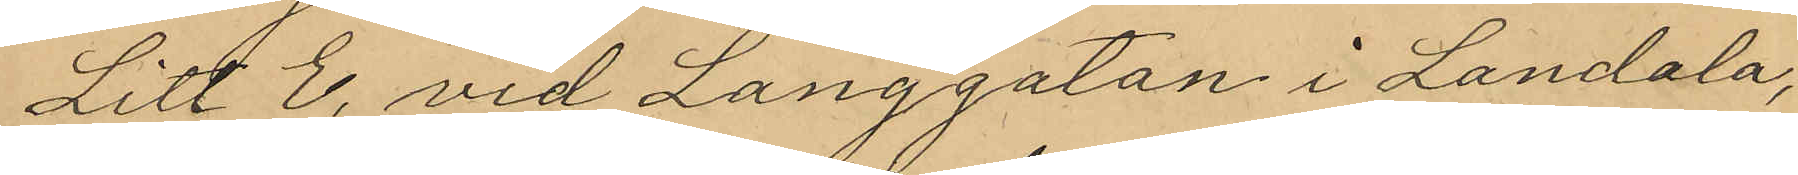Litt E. vid Långgatan i Landala,
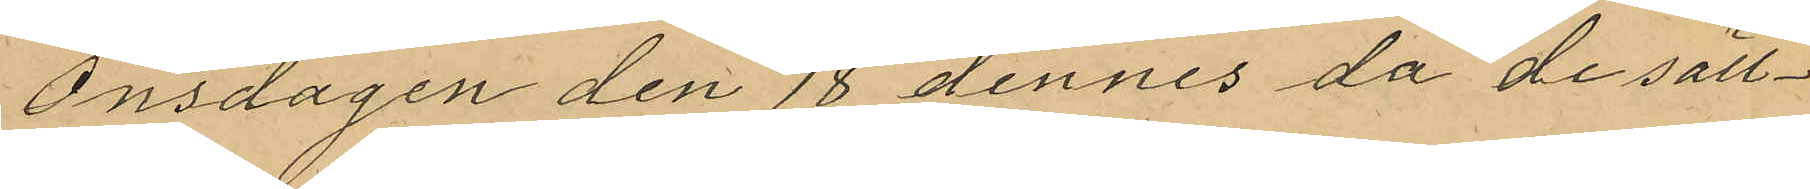Onsdagen den 18 dennes då de säll¬
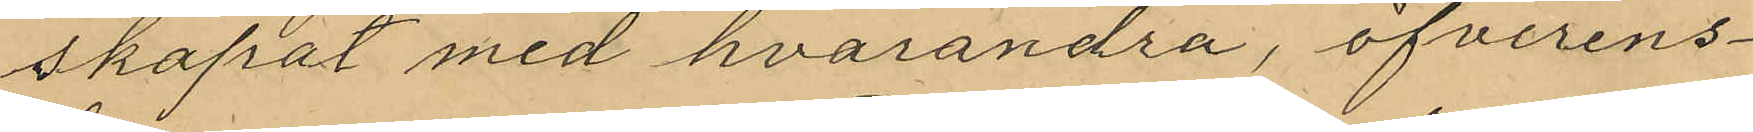skapat med hvarandra, öfverens¬
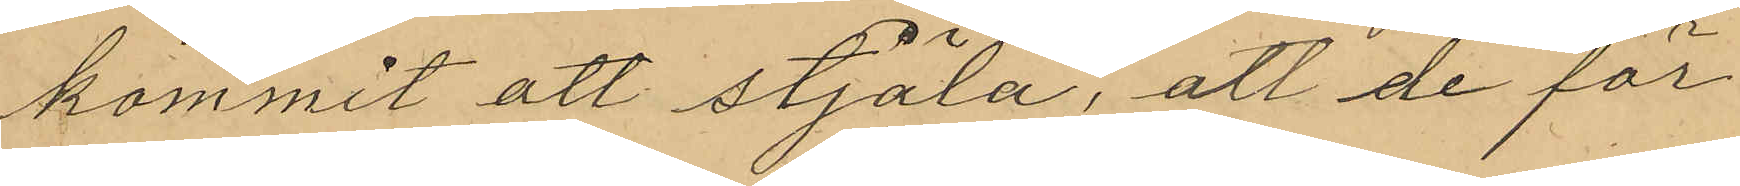kommit att stjäla, att de för
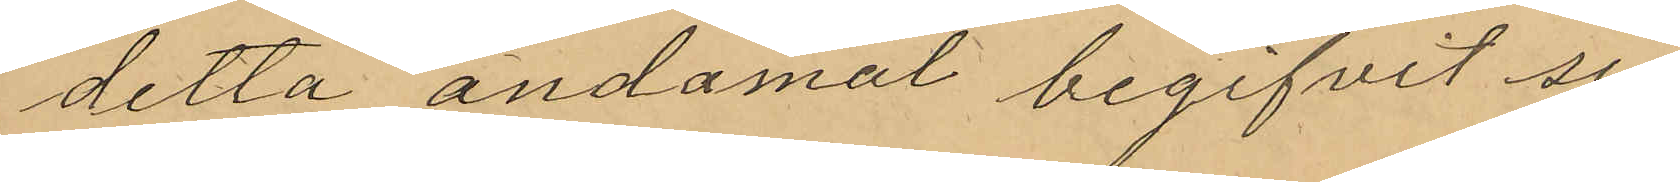detta ändamål begifvit sig
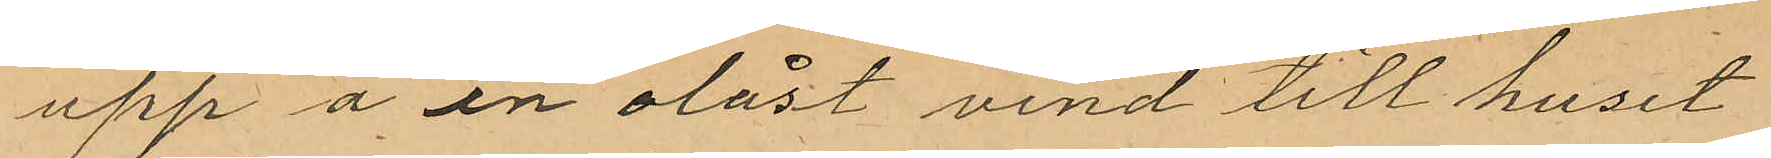upp å en olåst vind till huset
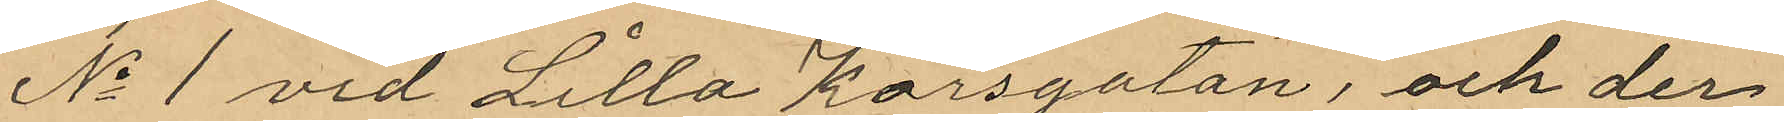No 1 vid Lilla Korsgatan, och der
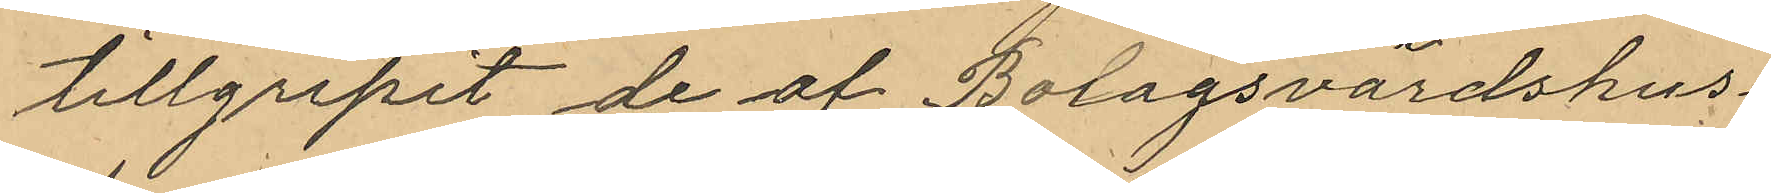tillgripit de af Bolagsvärdshus¬
